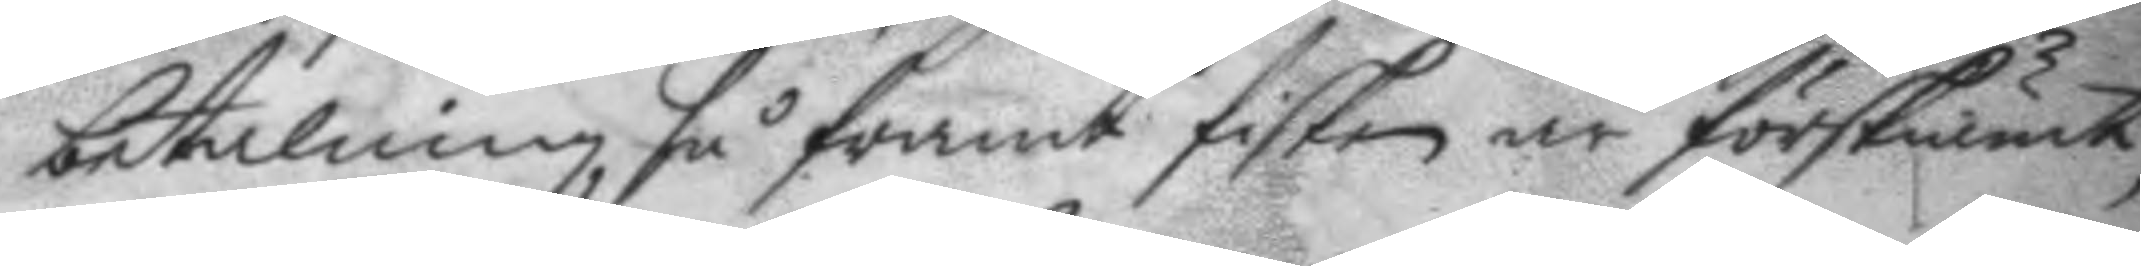betalning, så framt fisken är förskiämt,
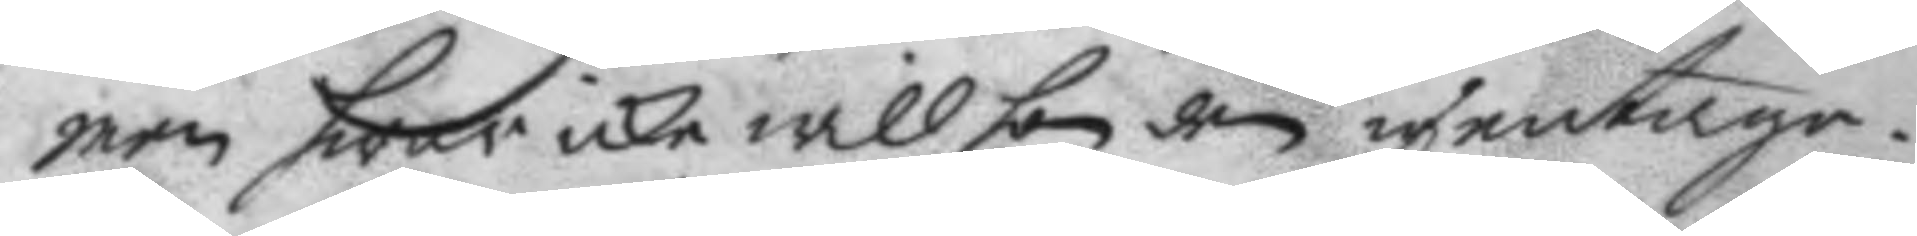men hwar icke will hon den igentage.
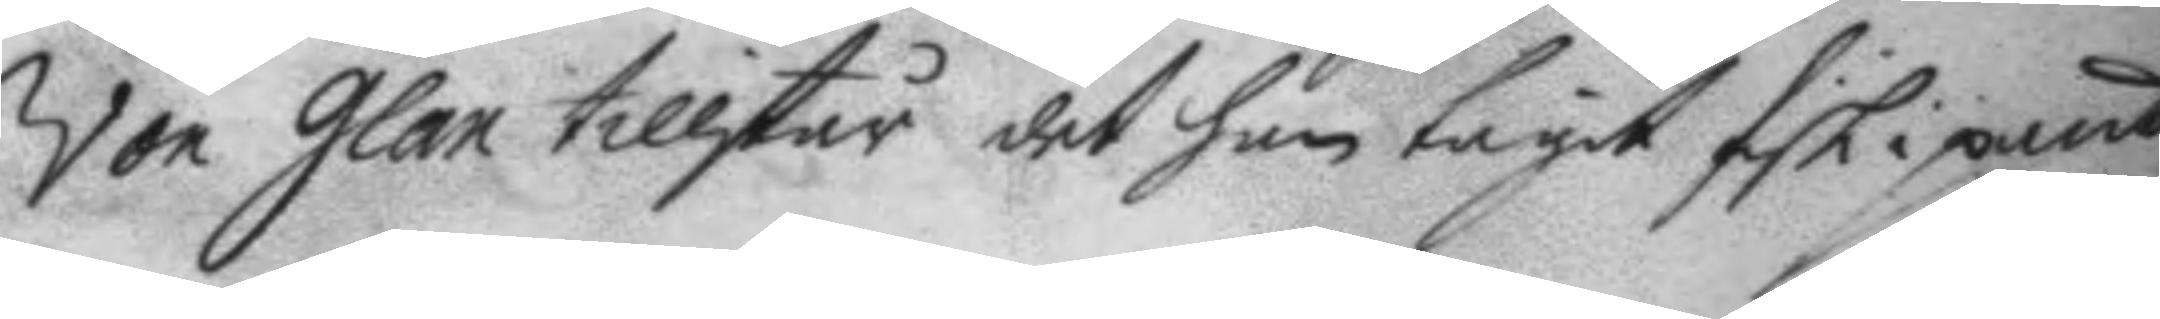Von Glan tillstår det han tagit fisk i pant
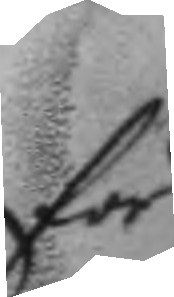för
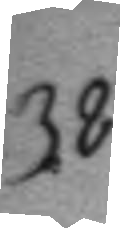38.
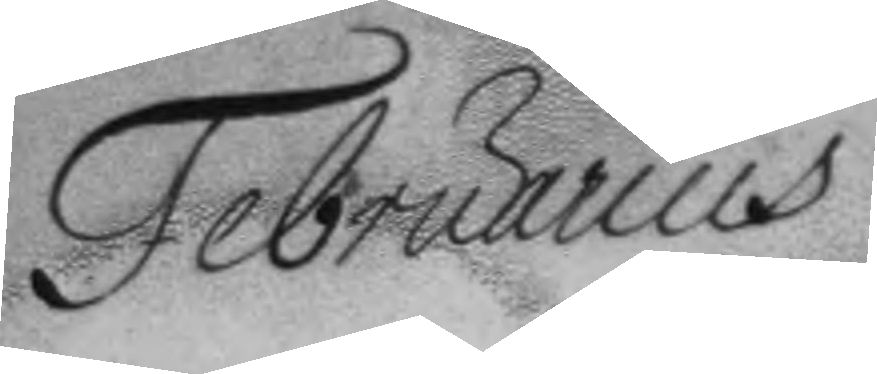Februarius	
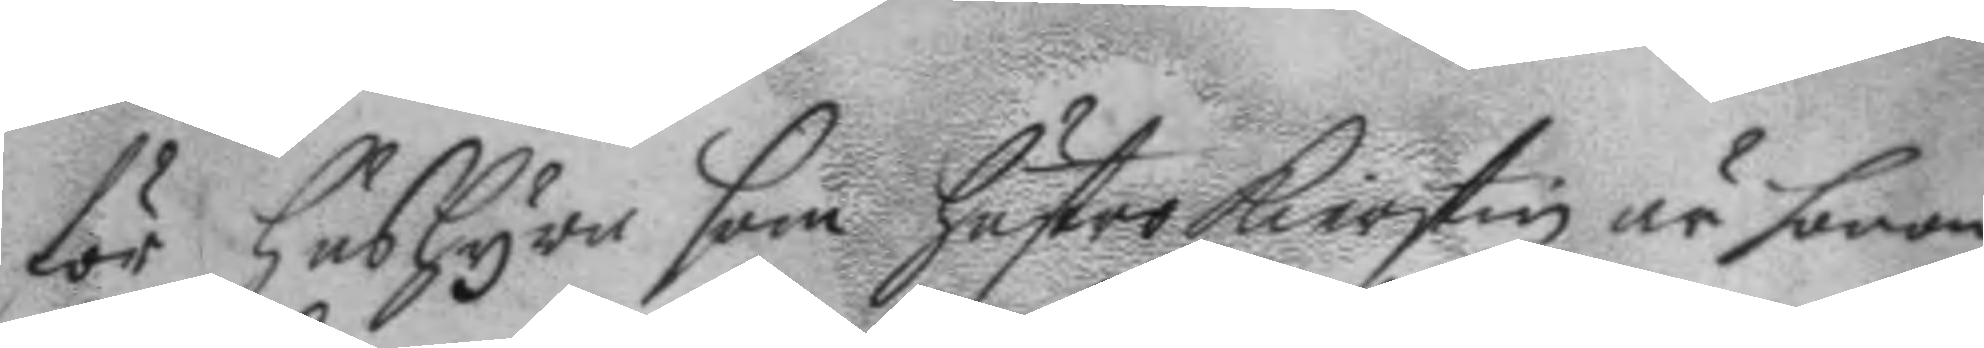för hushyra som hustro Kierstin är honom
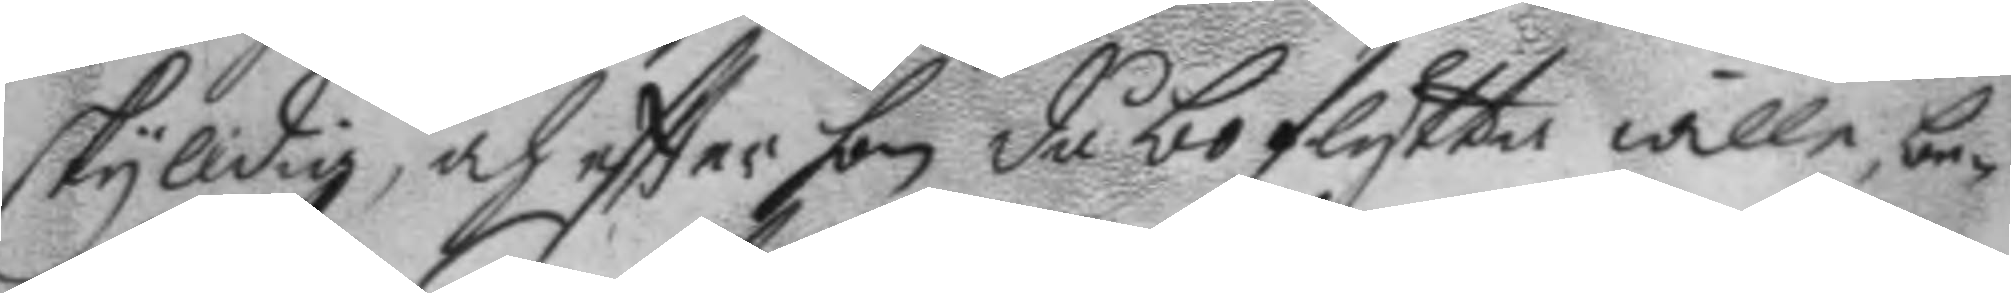skyldig, och eftter hon då bo flytta willem be¬
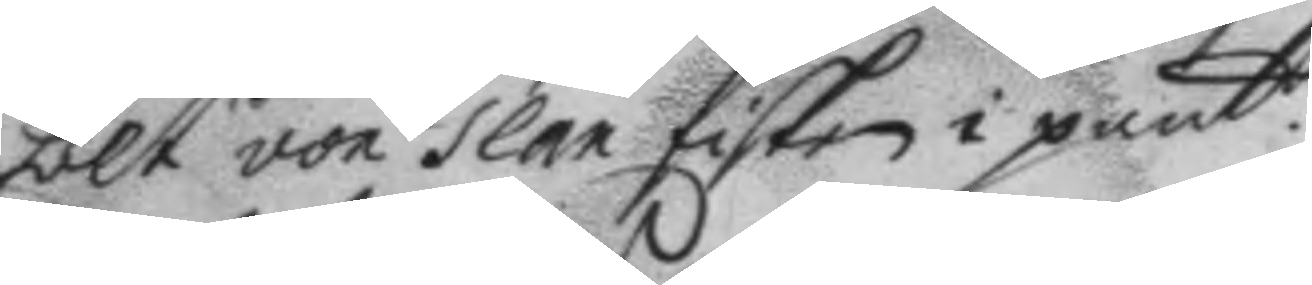hölt von Glan fsiken i pant.
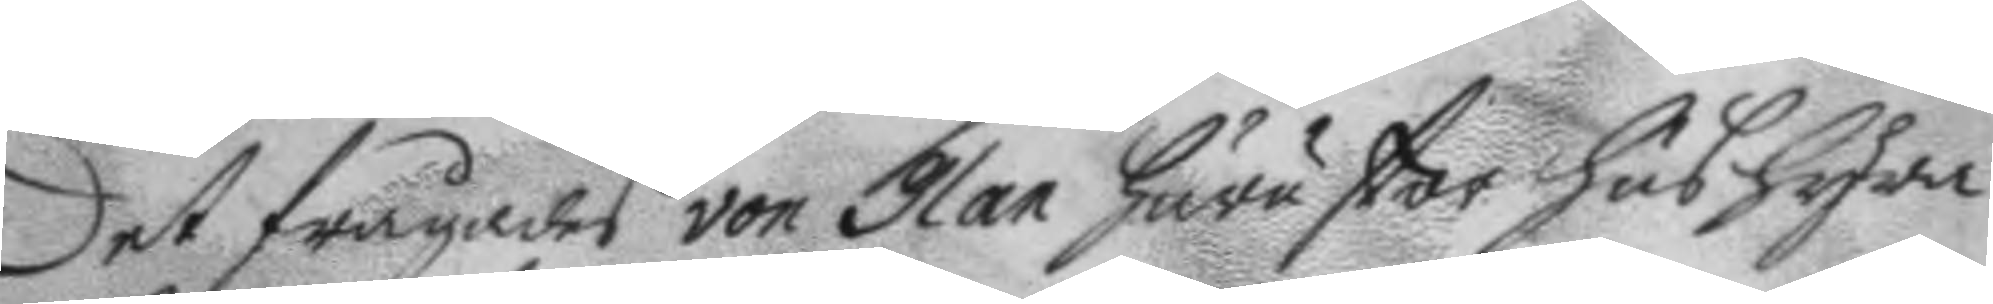Det frågades von Glan huru stor hushyra
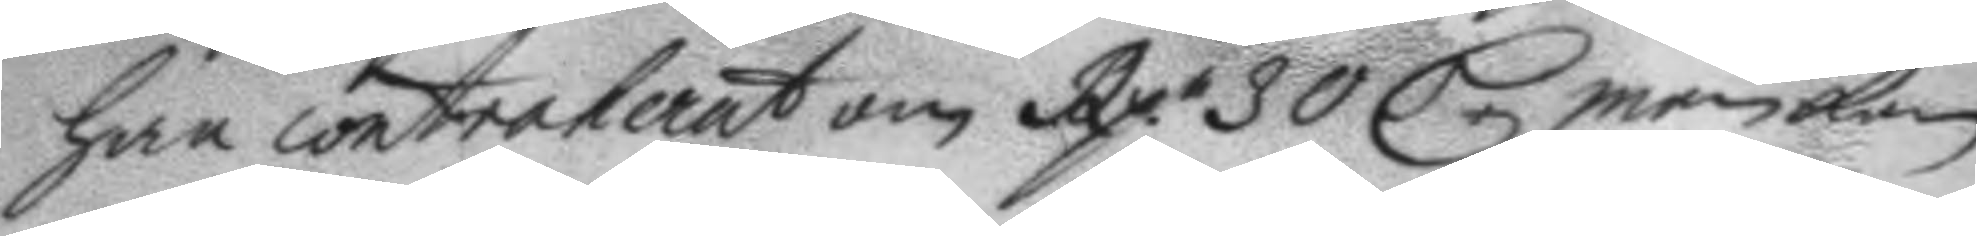han controlerat om Rp. 30 C.r men kan
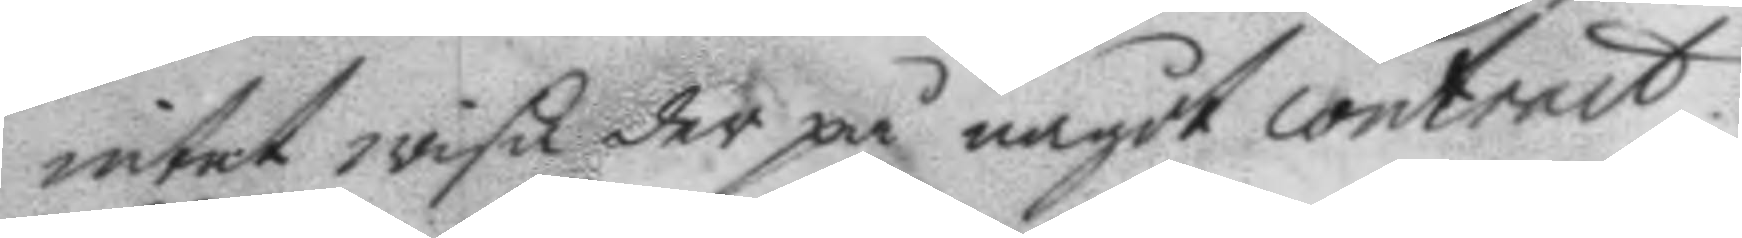intet wisa der på något contract.
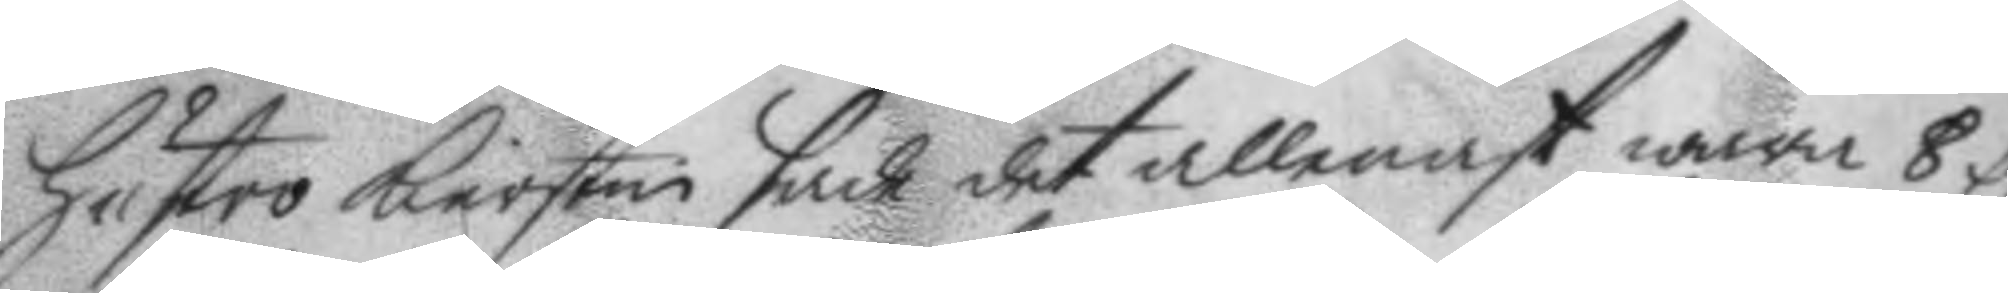Hustro Kierstin sade det allenast wara 8 C.
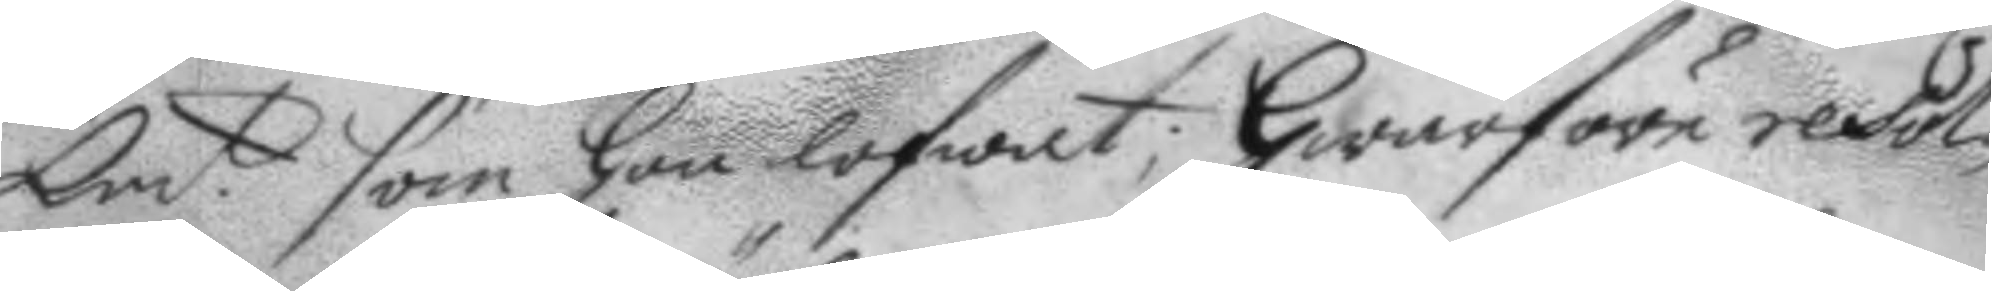Kmt. som hon lofwat; Hwarföre resol¬
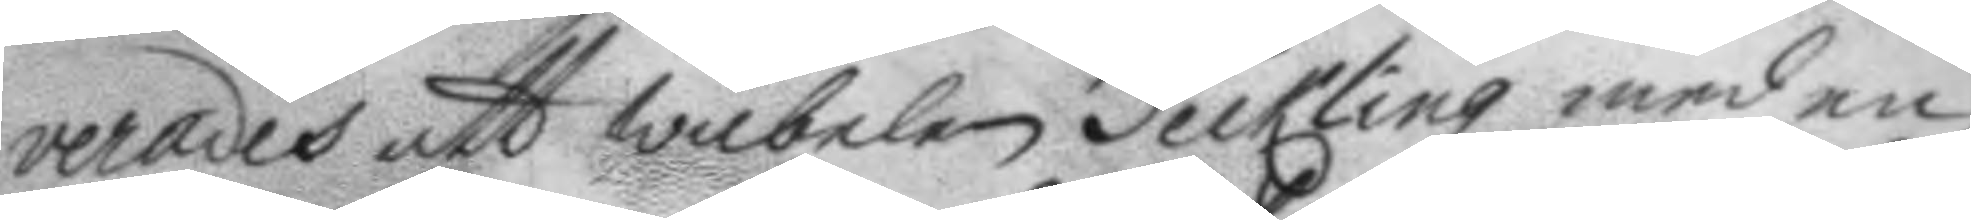verades att wäbelen Teckling med en
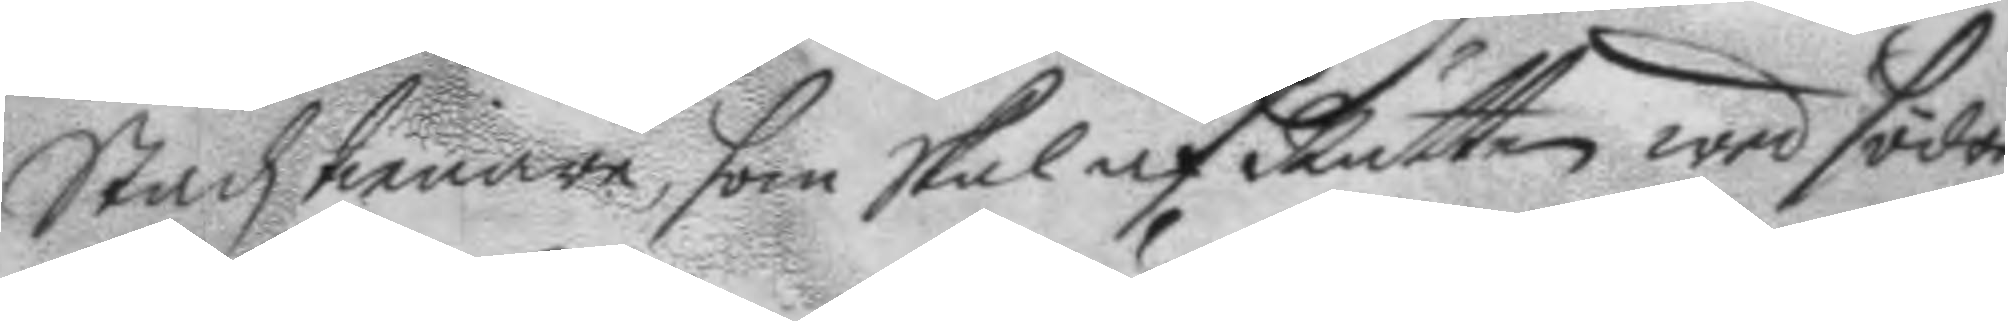Stadztienare, som skal af Rätten wed Södra
